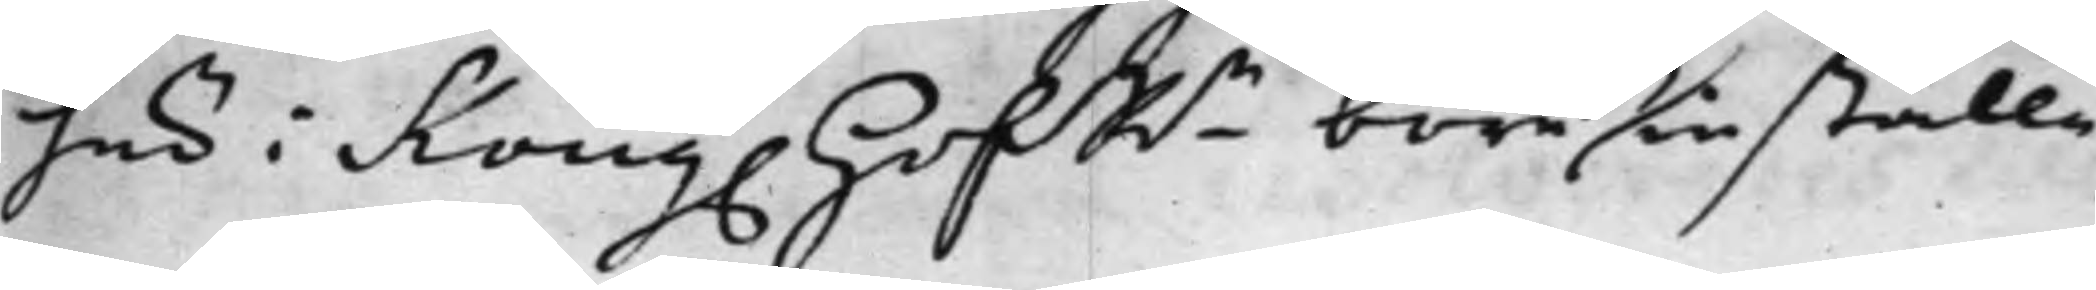här i Kong. HofRn böre inställa,
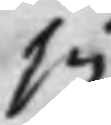sig
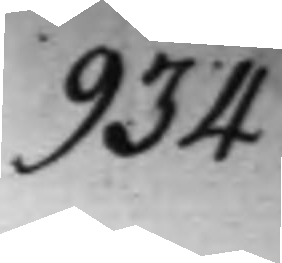934.
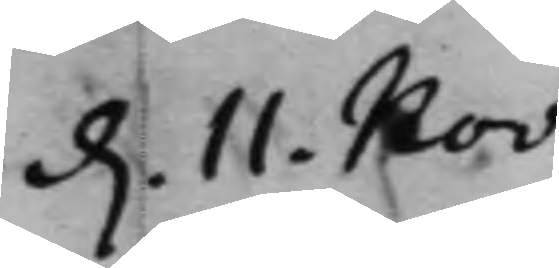d. 11. Nov:
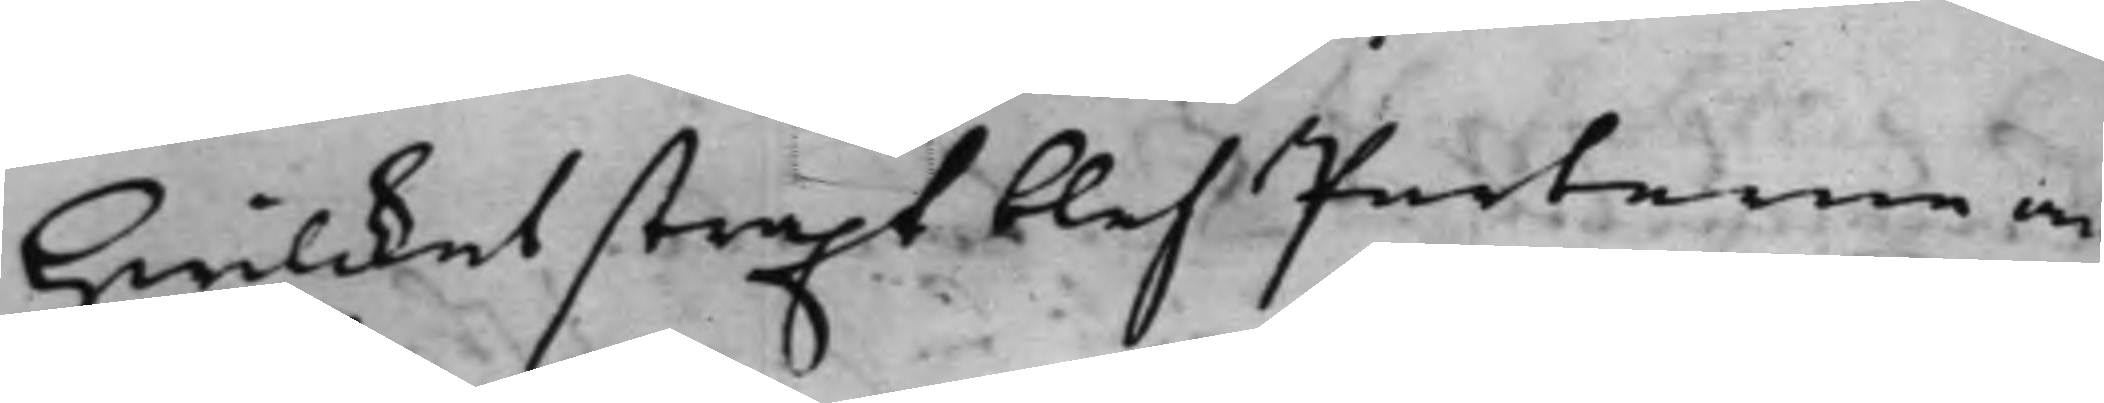Hwilcket straxt blef Parterne an¬
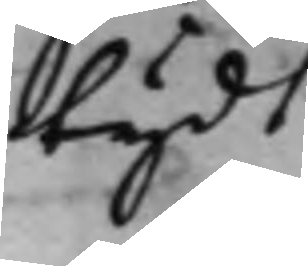tydt ./.
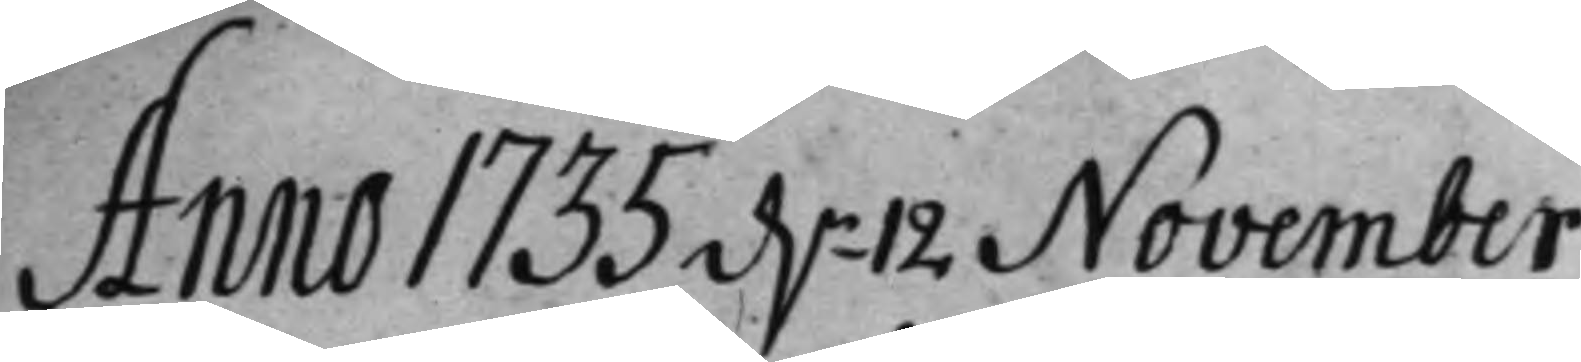Anno 1735 d.n 12 November
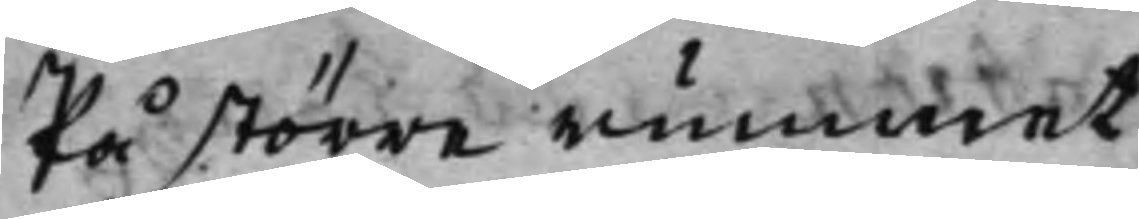På större rummet
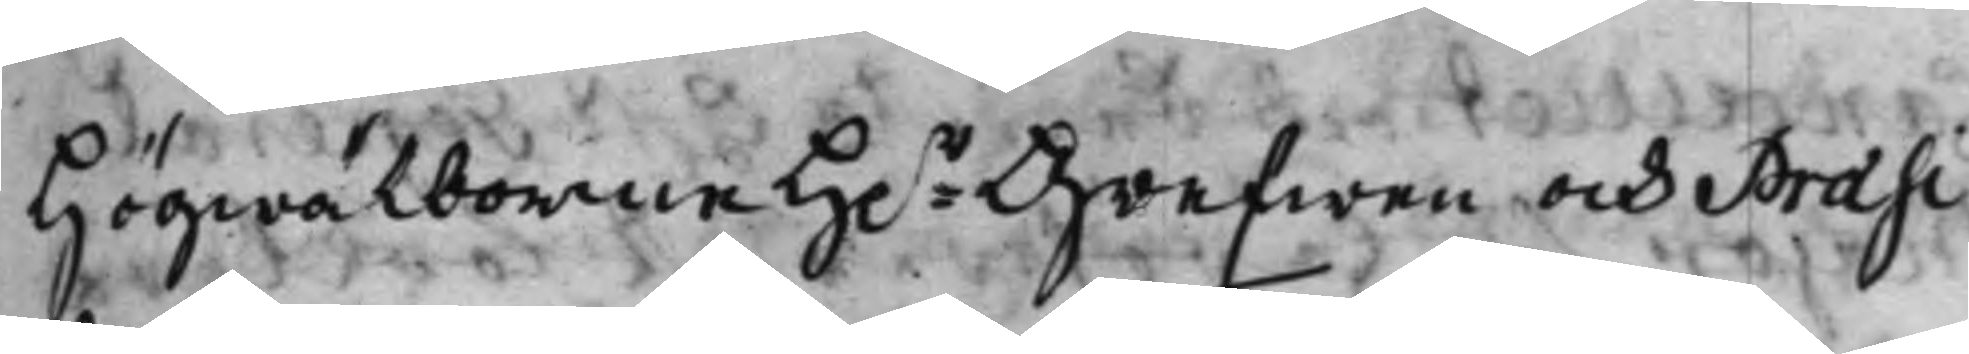Högwälborne H.r Grefwen och Praesi¬
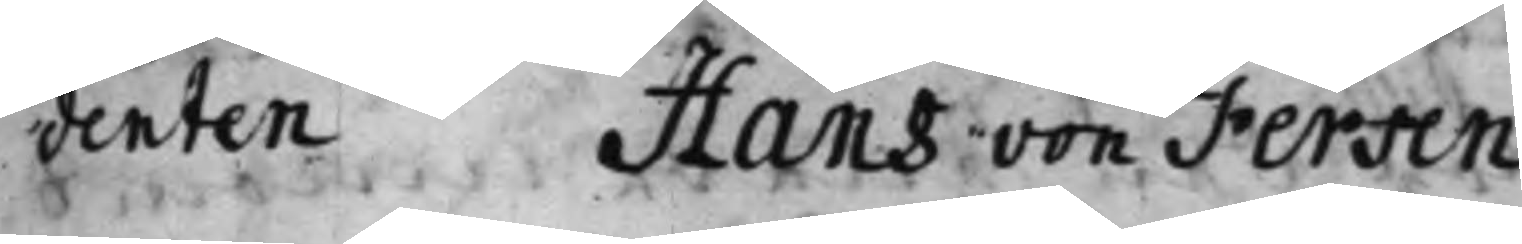denten Hans von Fersen.
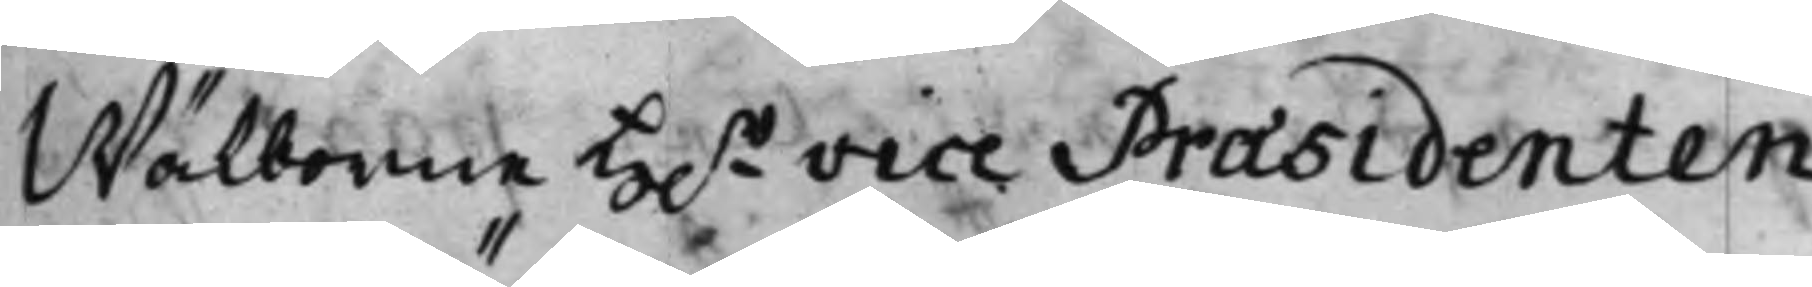Wälborne H.r Vice Praesidenten
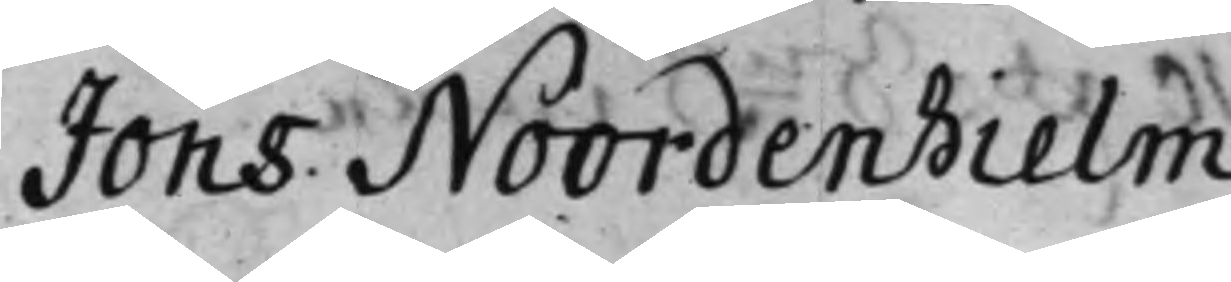Jöns Noordenhielm
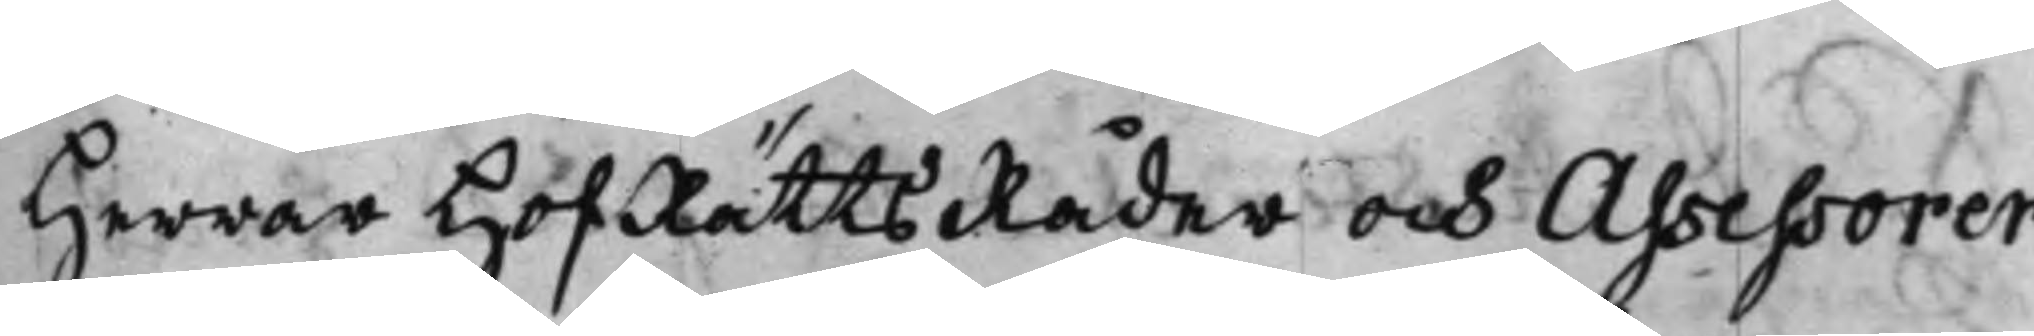Herrar HofRättsRåder och Assessorer
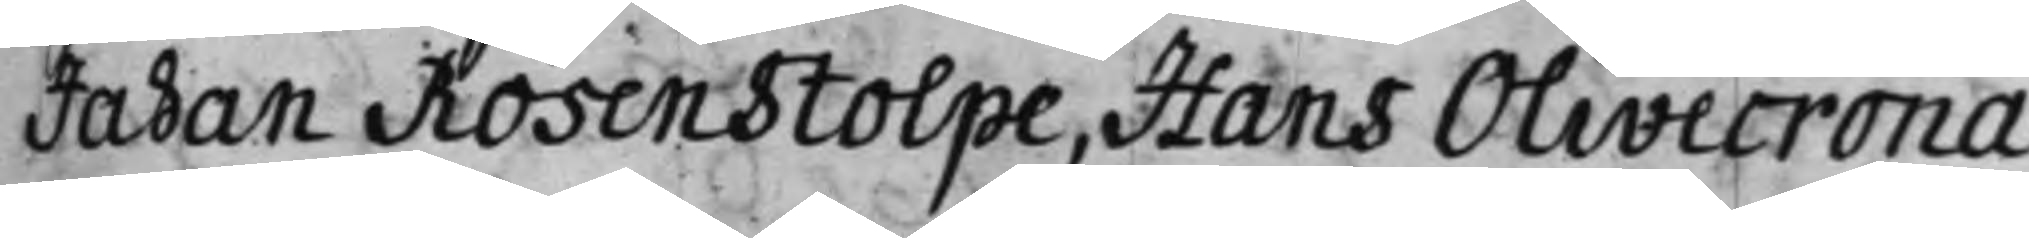Johan Rosenstolpe, Hans Olivecrona,
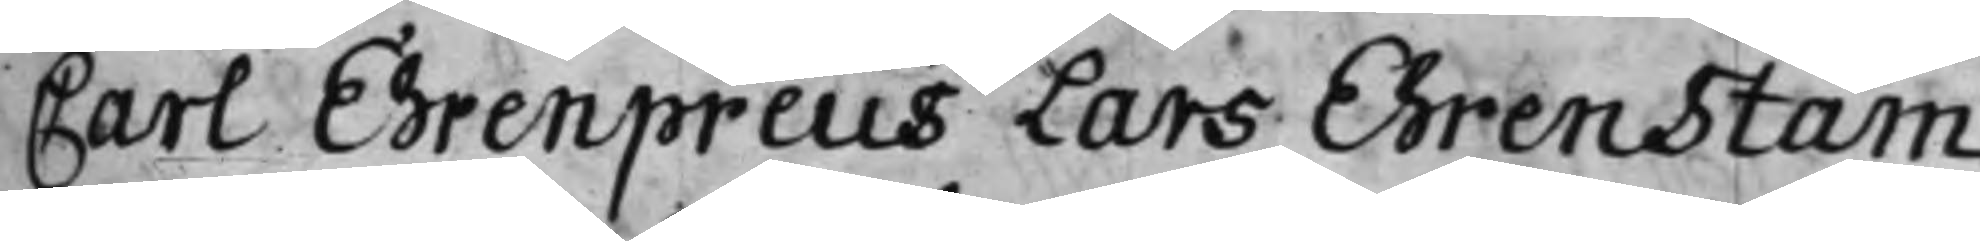Carl Ehrenpreus Lars Ehrenstam
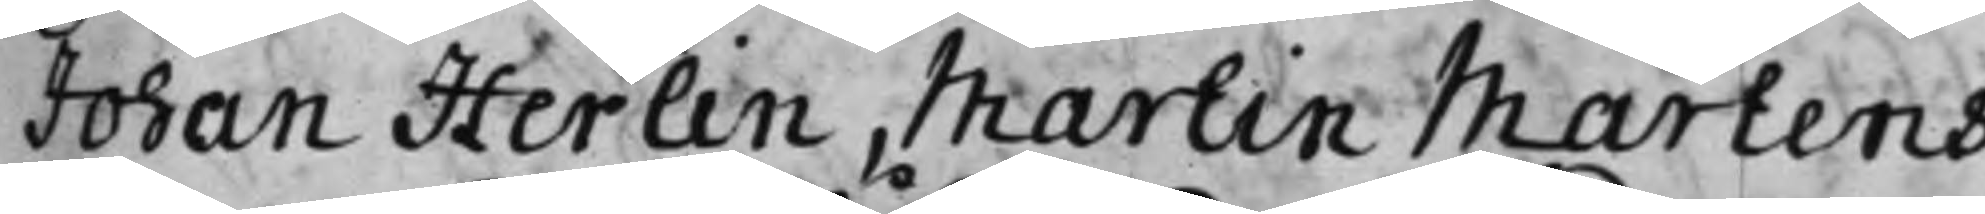Johan Herlin, Martin Martens,
